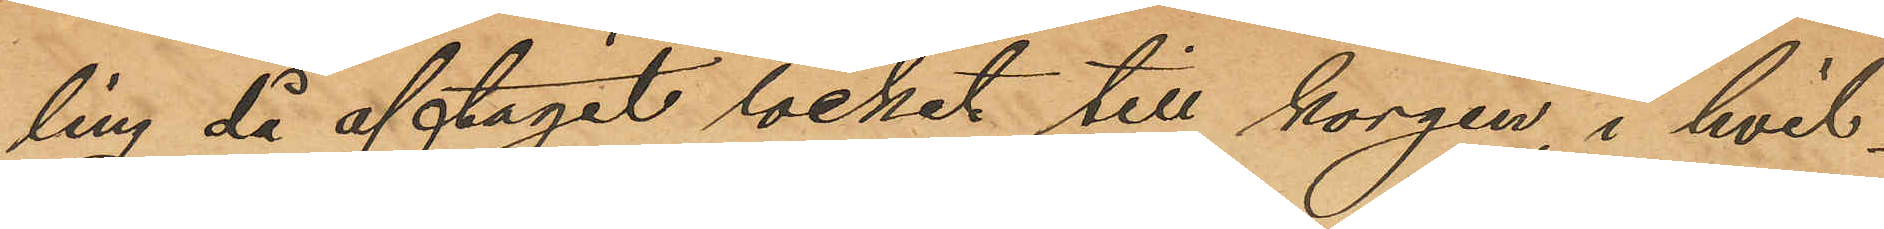ling då aftagit locket till korgen, i hvil¬
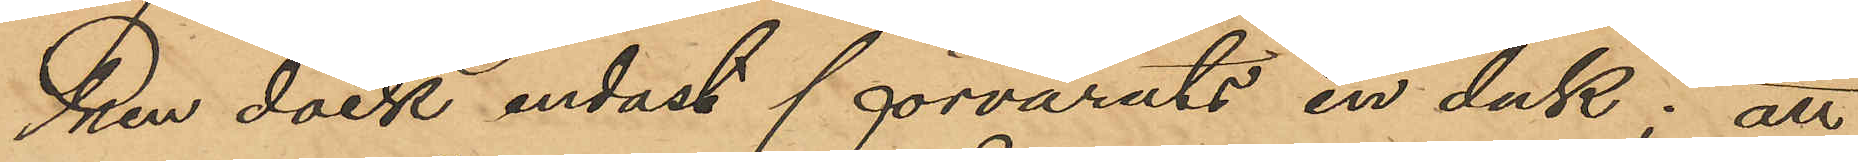ken dock endast förvarats en duk; att
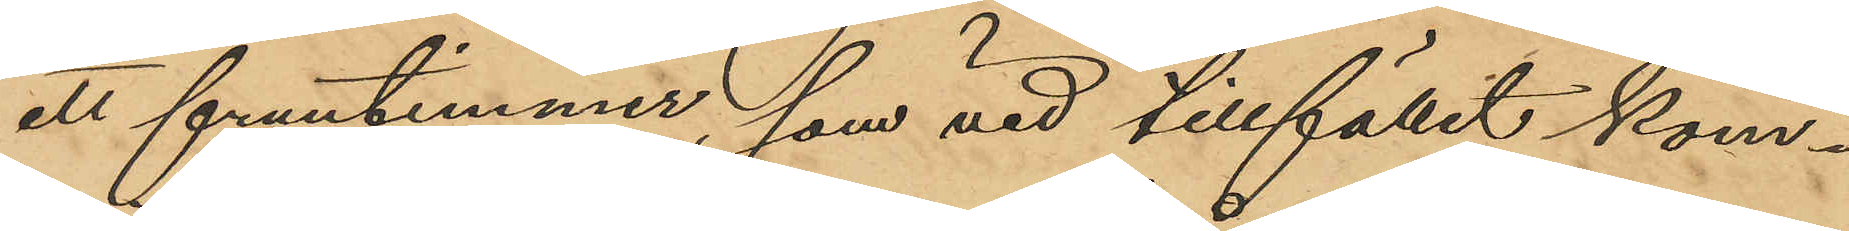ett fruntimmer, som vid tillfället kom¬
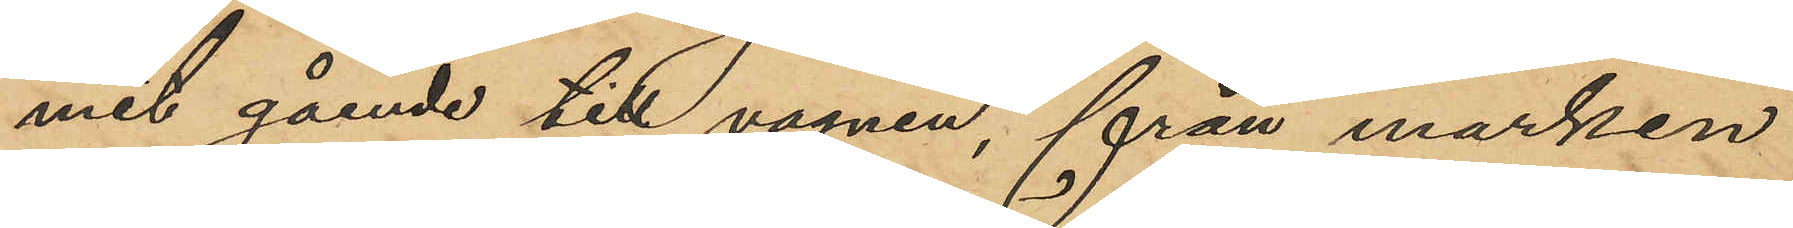mit gående till vagnen, från marken
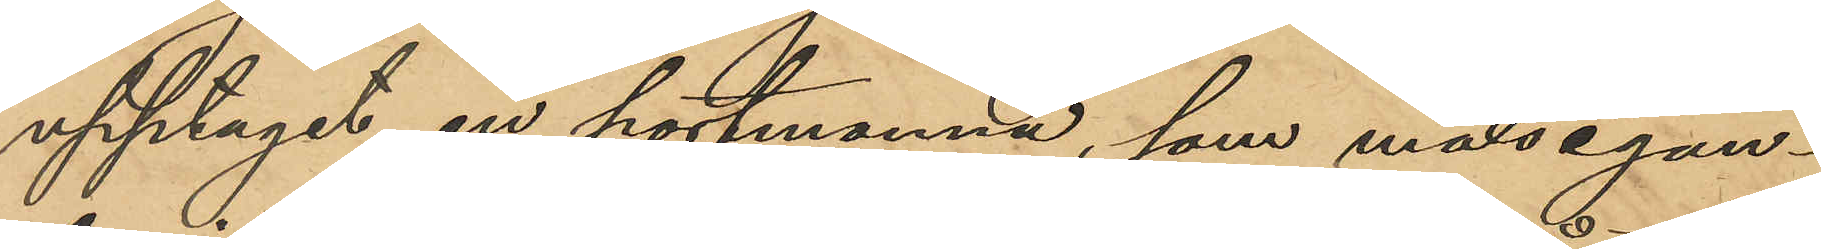upptagit en portmonnä, som målsegan¬
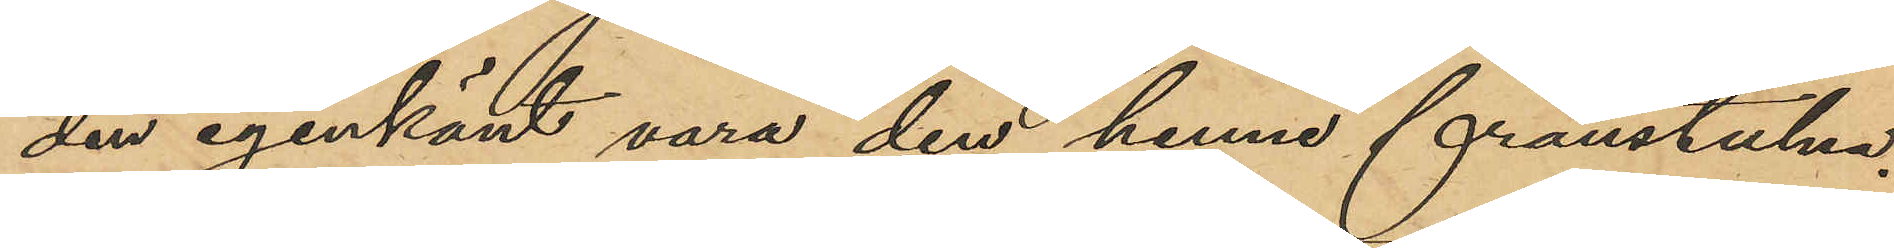den igenkänt vara den henne frånstulna,
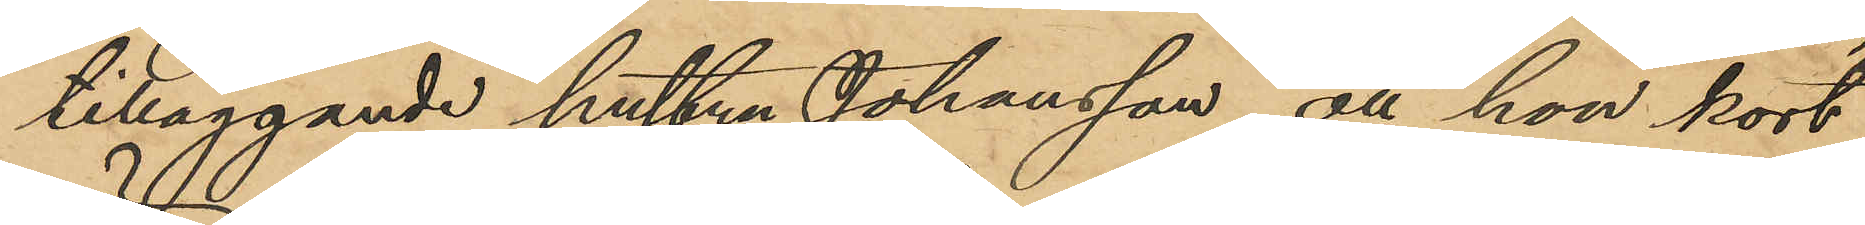tilläggande hustru Johansson, att hon kort
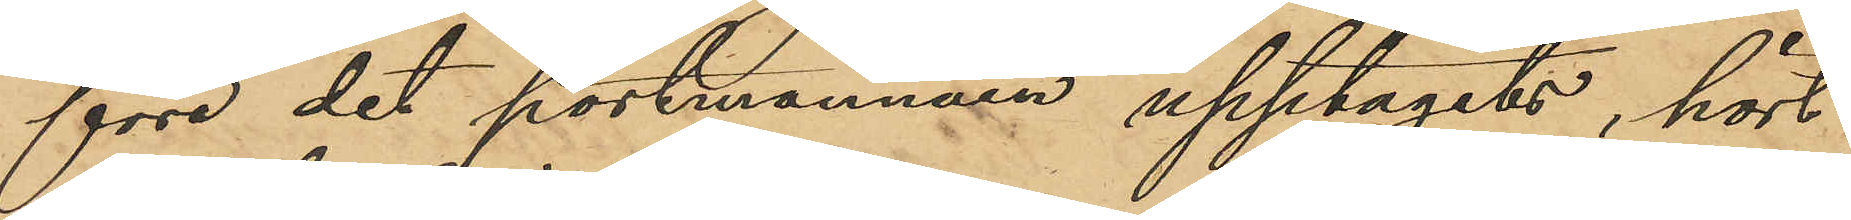före det portmonnäen upptagits, hört
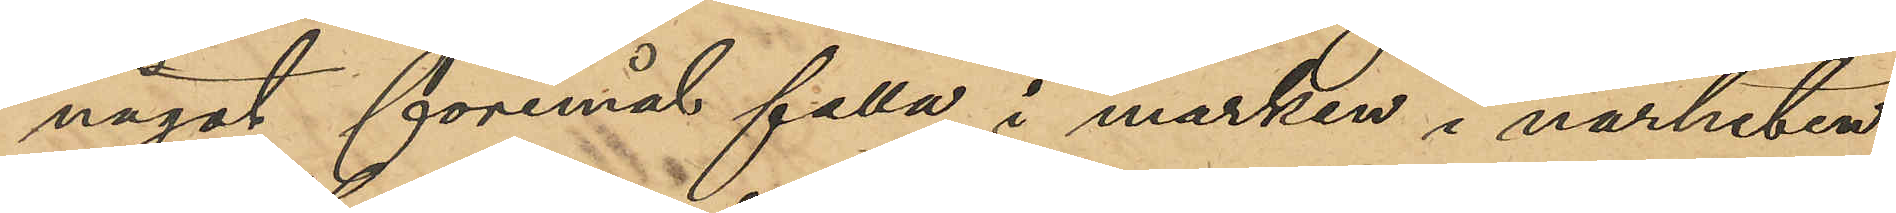något föremål falla i marken i närheten
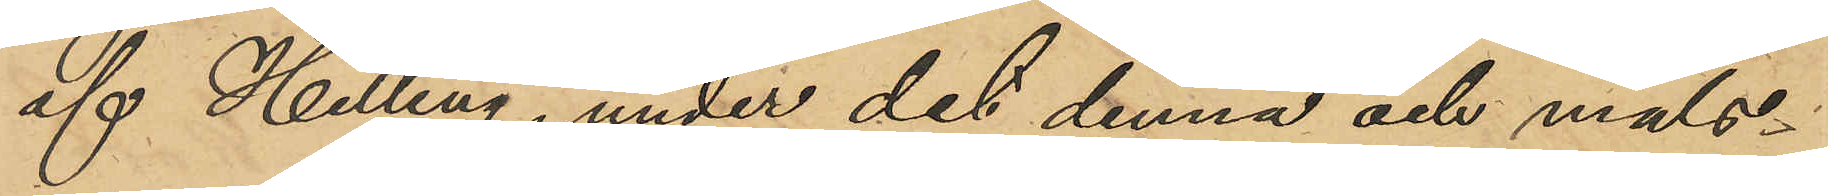af Helling, under det denna och måls¬
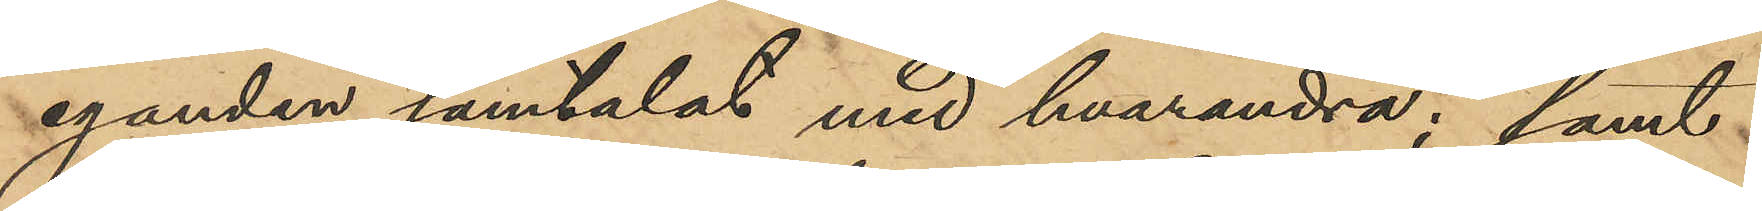eganden samtalat med hvarandra; samt
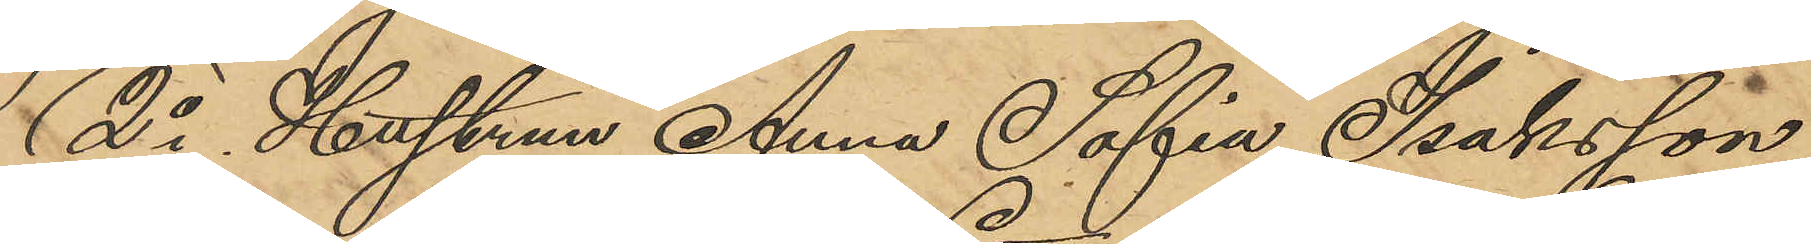2o Hustrun Anna Sofia Isaksson,
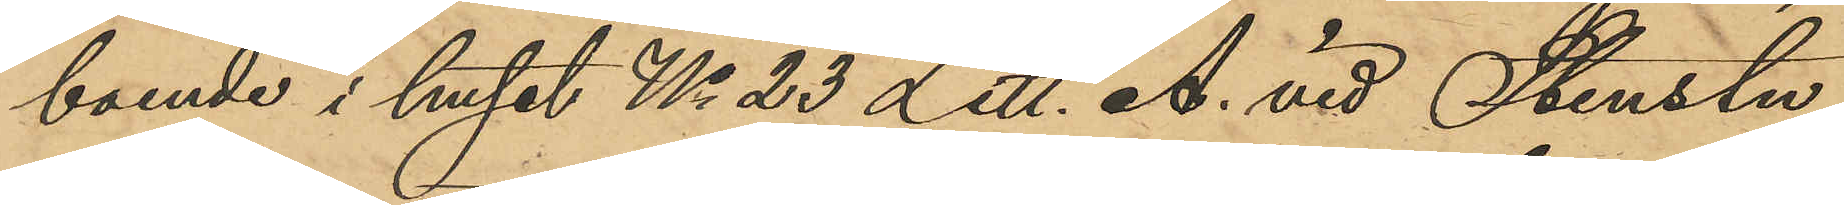boende i huset No 23 Litt. A. vid Stenstu¬
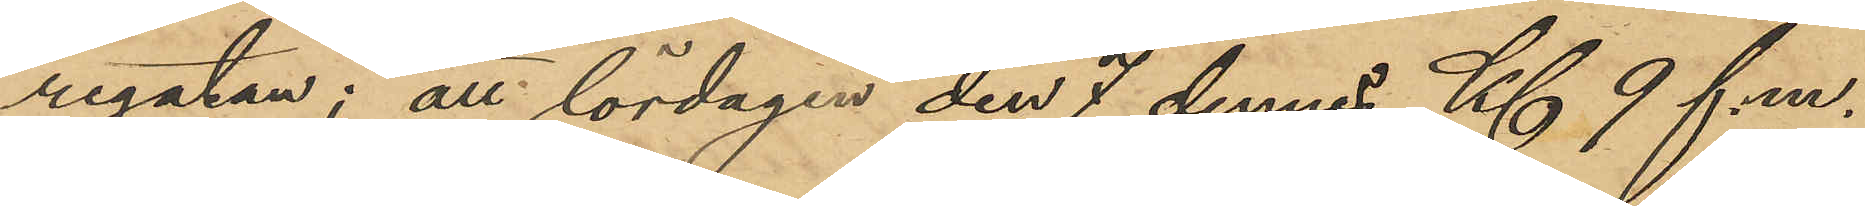regatan; att lördagen den 7 dennes Kl 9 f.m.
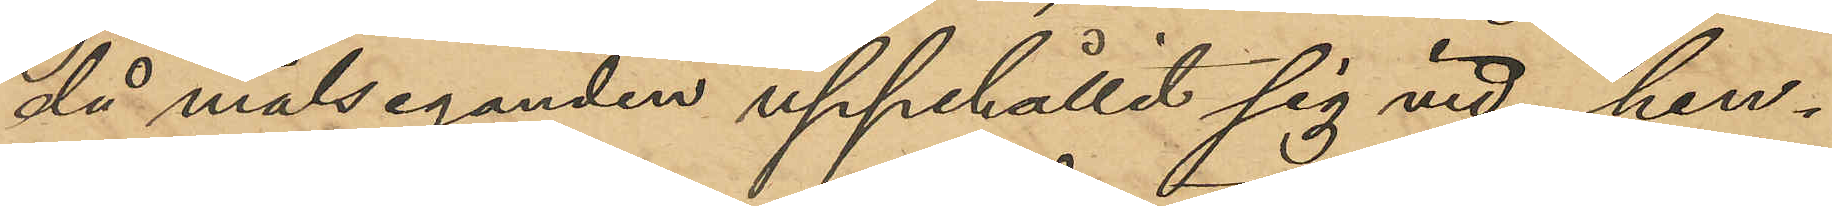då målseganden uppehållit sig vid hen¬
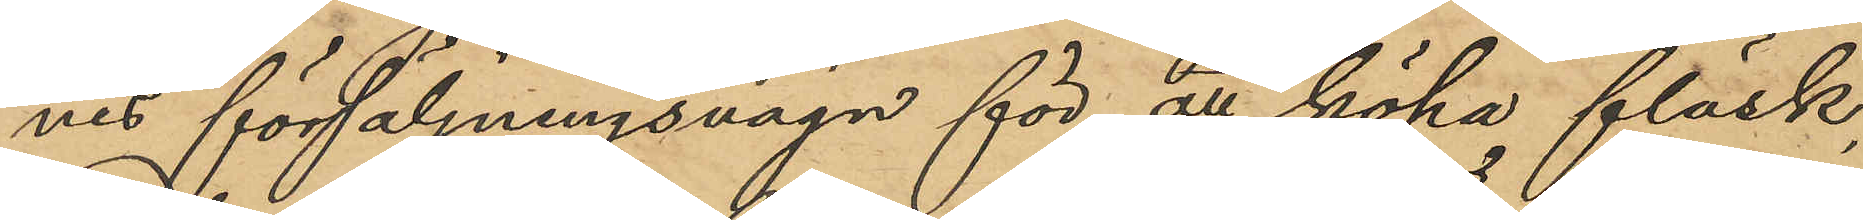nes försäljningsvagn för att köpa fläsk,
